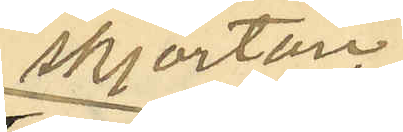skjortan
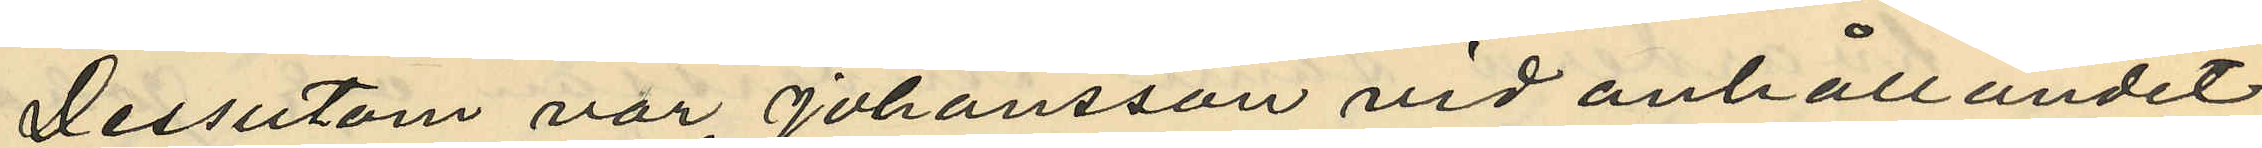Dessutom var Johansson vid anhållandet
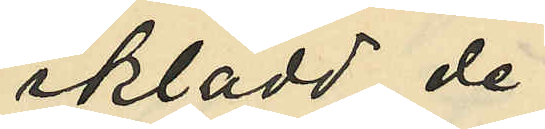iklädd de
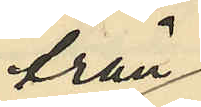från
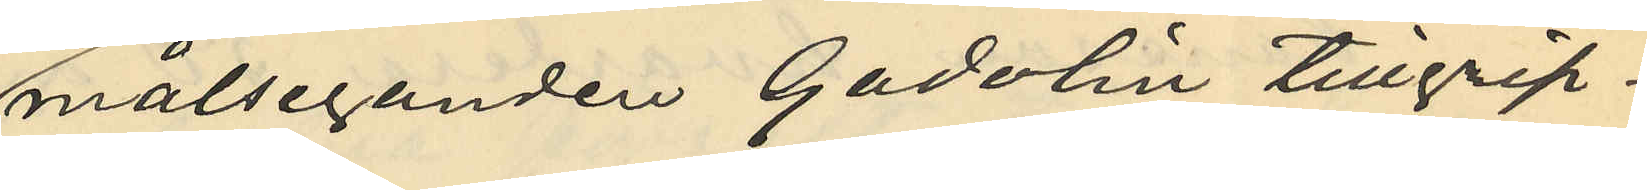målseganden Gadolin tillgrip¬
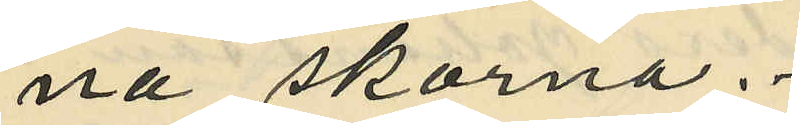na skorna.
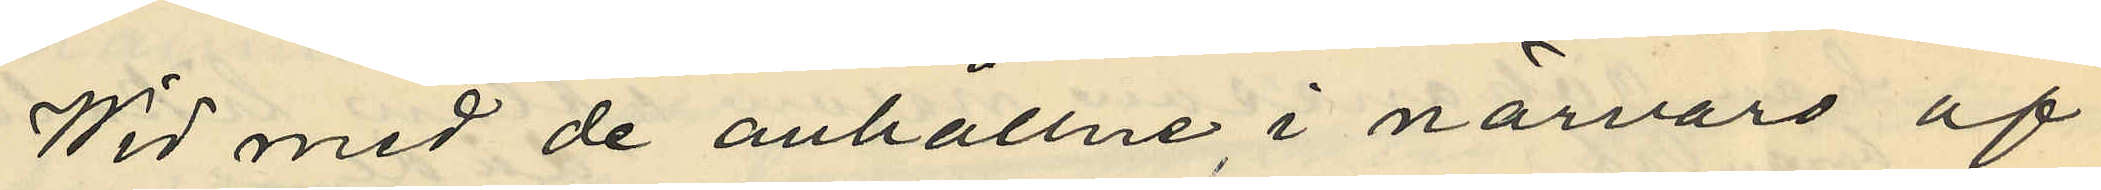Wid med de anhållne i närvaro af
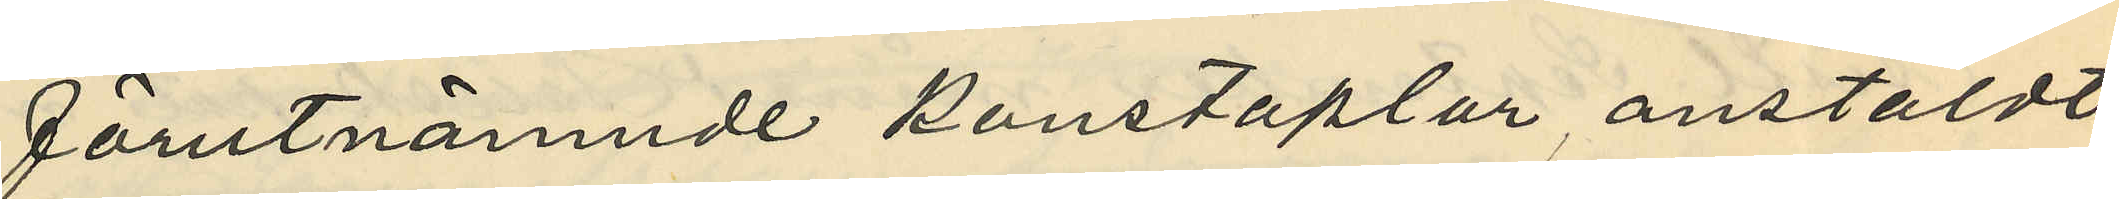förutnämnde konstaplar anstäldt
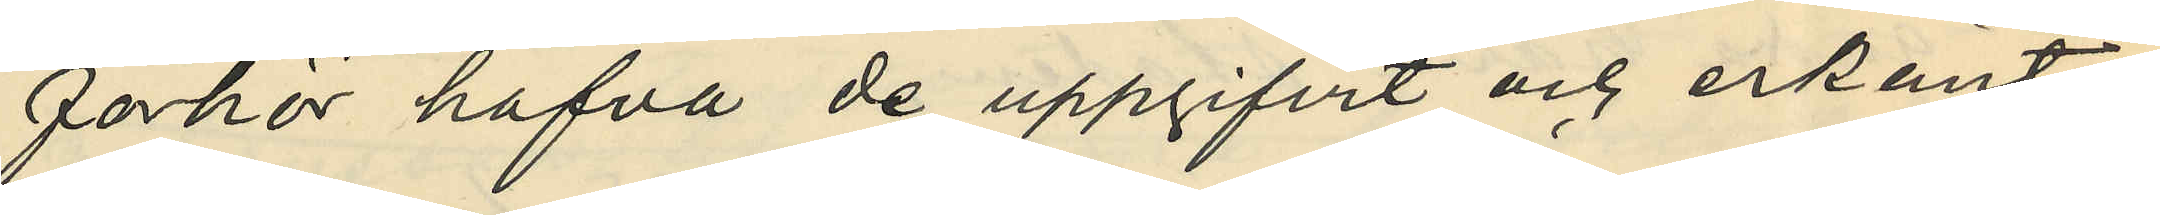förhör hafva de uppgifvit och erkänt:
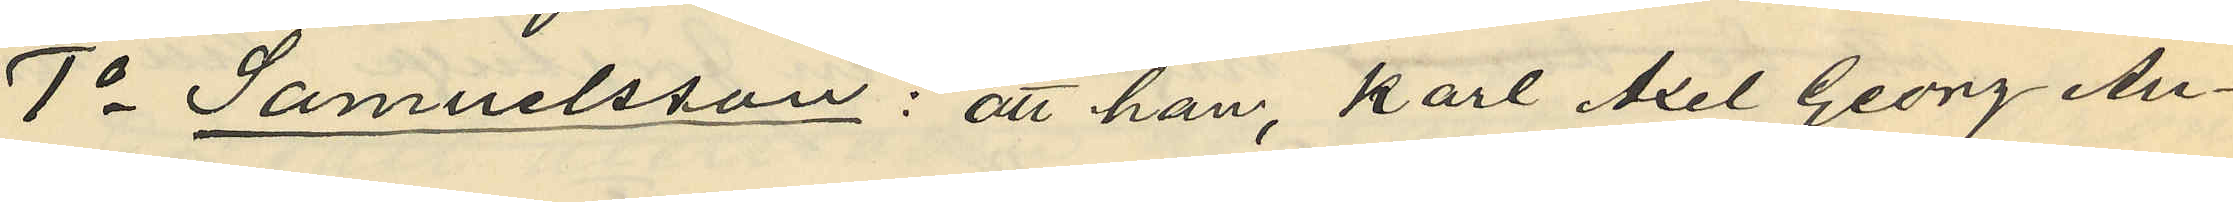1o Samuelsson: att han, Karl Axel Georg An¬
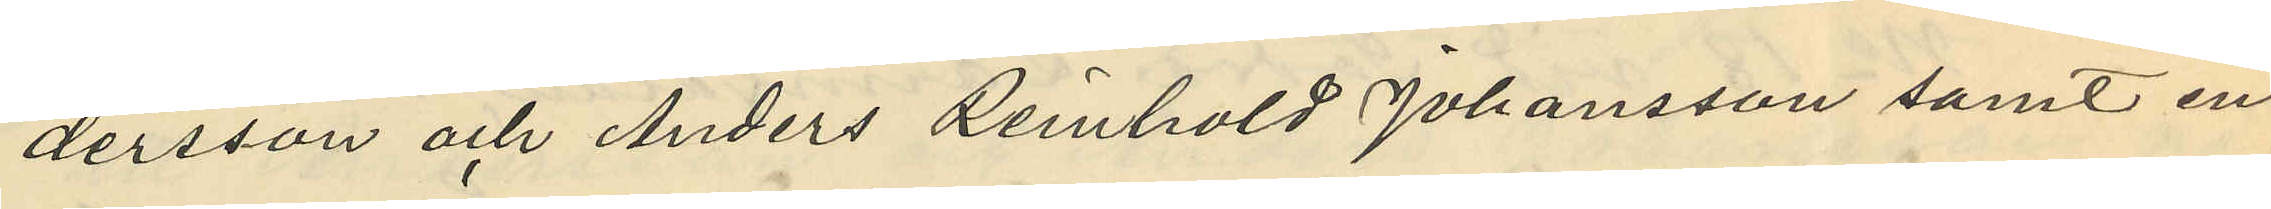dersson och Anders Renhold Johansson samt en
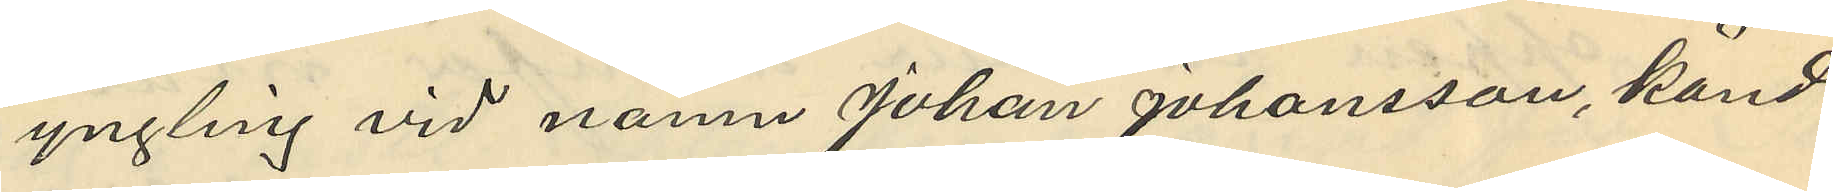yngling vid namn Johan Johansson, känd
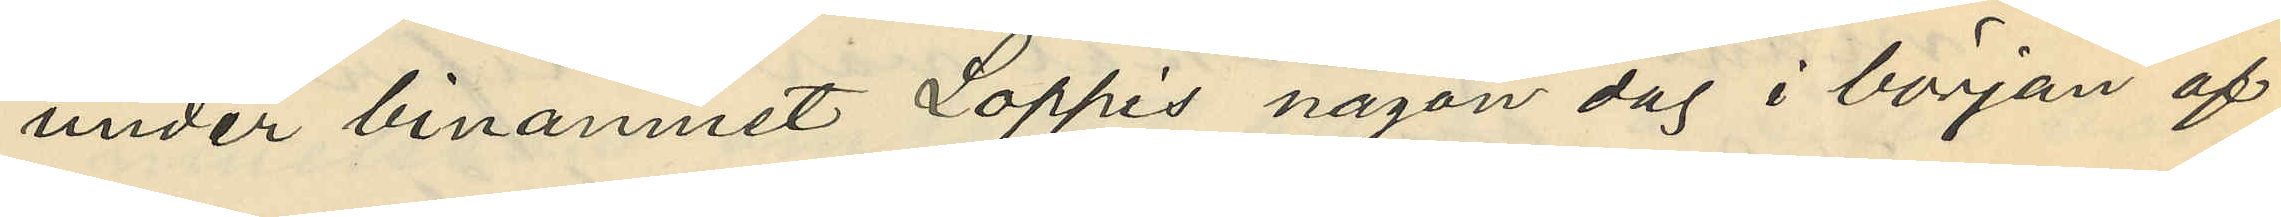under binamnet Loppis någon dag i början af
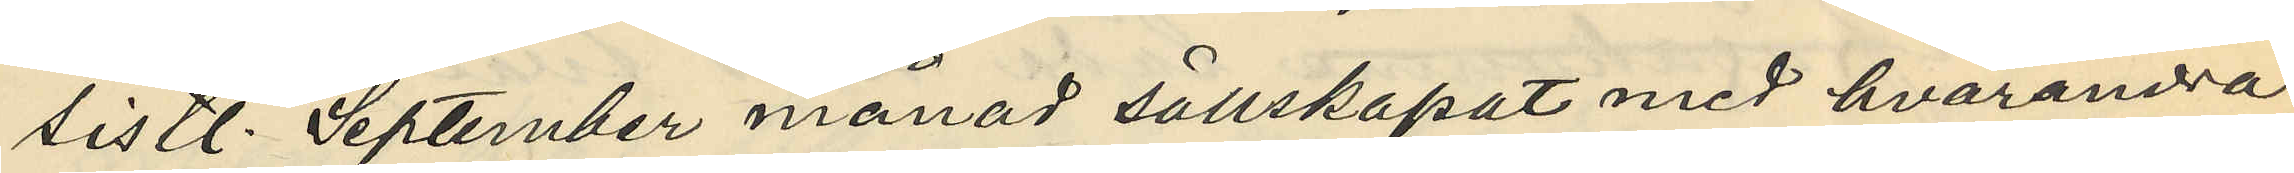sistl. September månad sällskapat med hvarandra
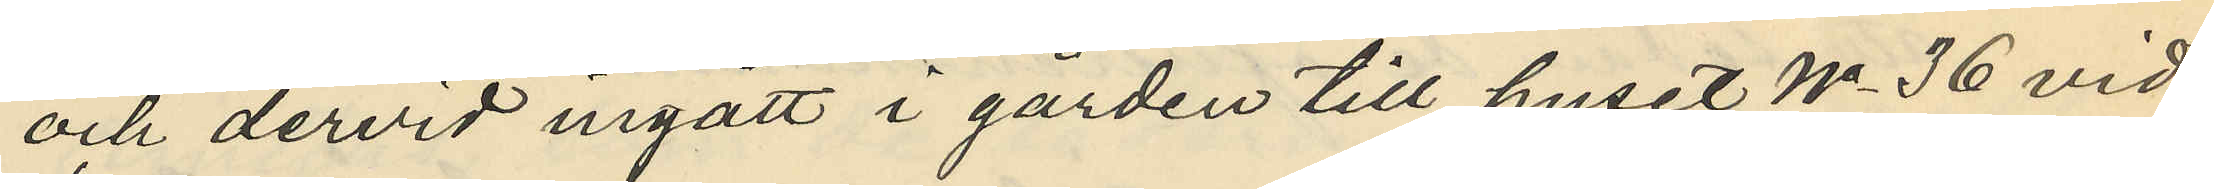och dervid ingått i gården till huset No 36 vid
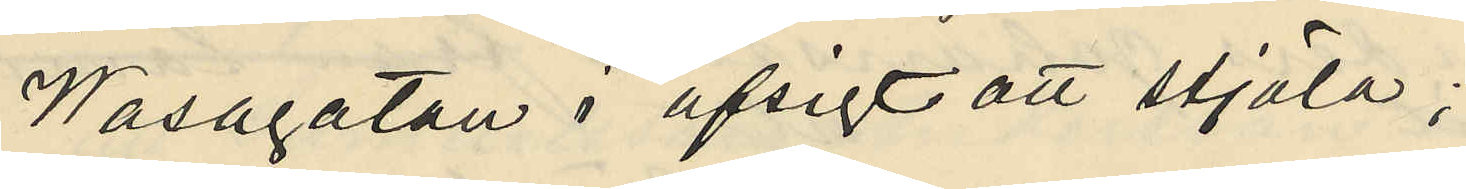Wasagatan i afsigt att stjäla;
